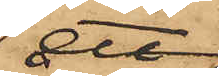ett
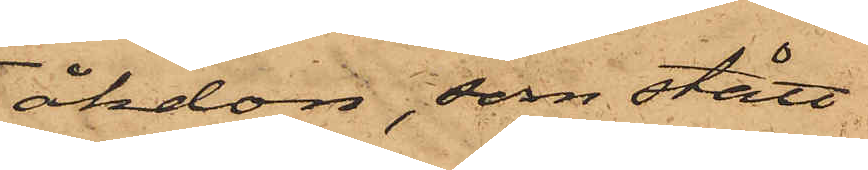åkdon, som stått
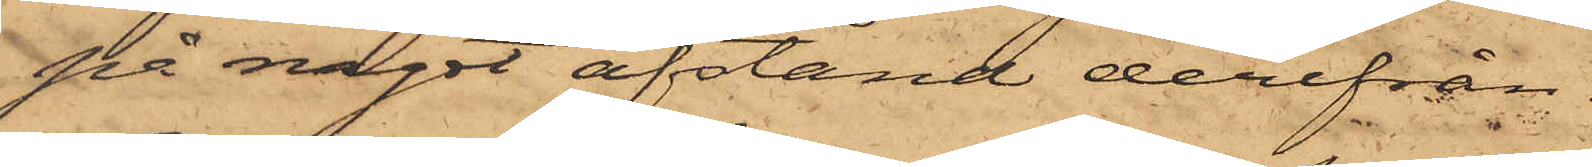på något afstånd derifrån.
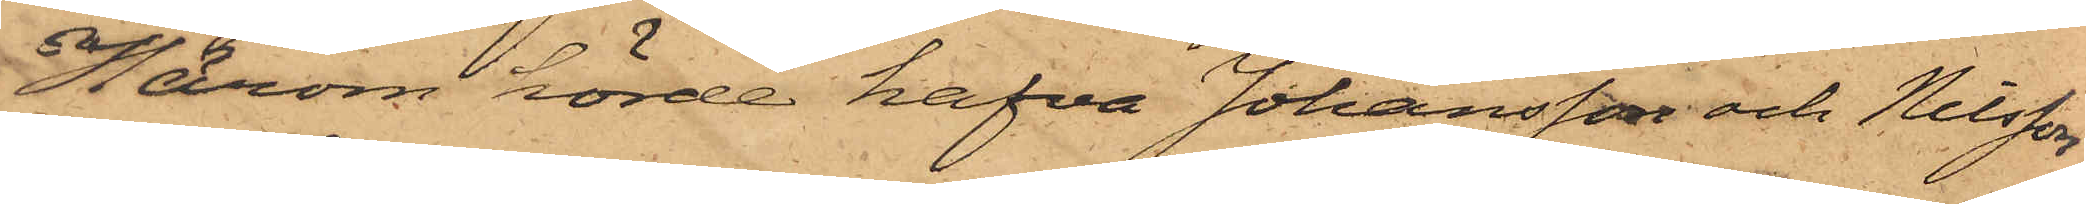Härom hörde hafva Johansson och Nilsson
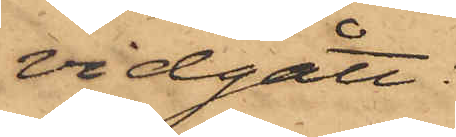vidgått:
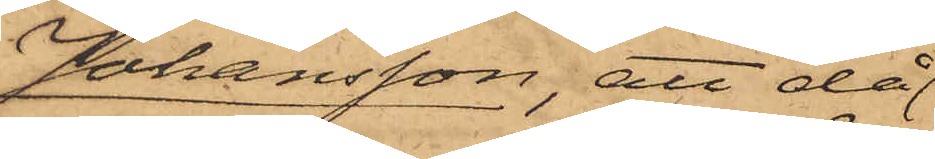Johansson, att då
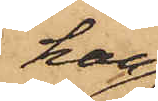han
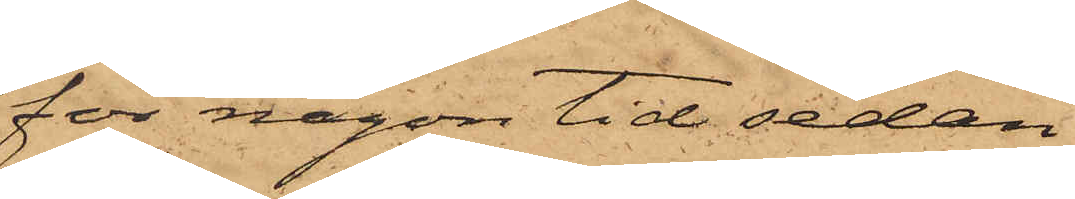för någon tid sedan
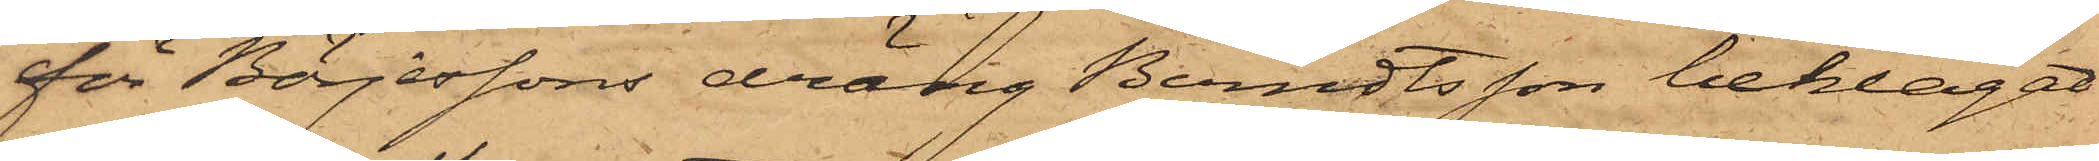för Börjessons dräng Berndtsson beklagat
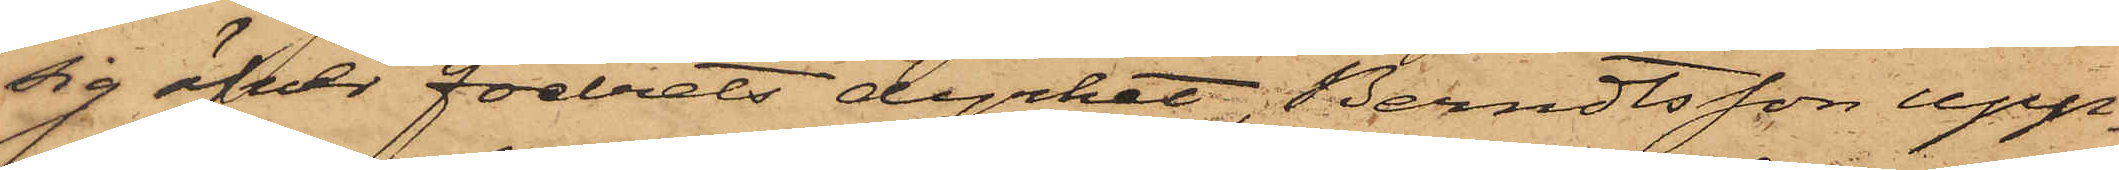sig öfver fodrets dyrhet, Berndtsson upp¬
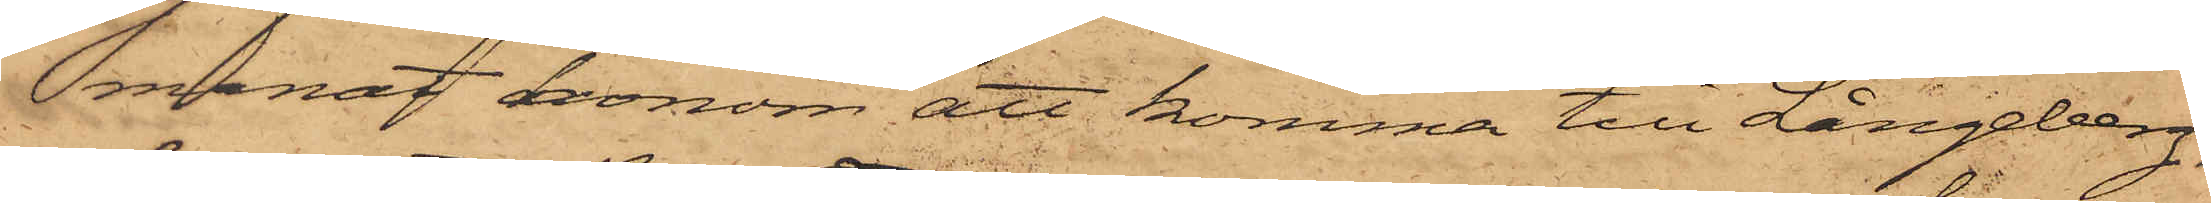manat honom att komma till Långeberg,
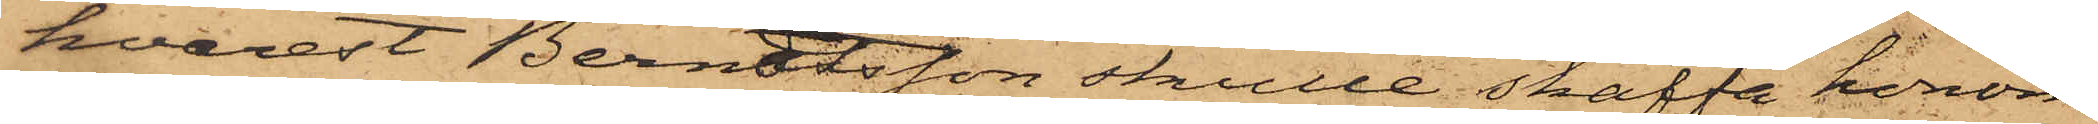hvarest Berndtsson skulle skaffa honom
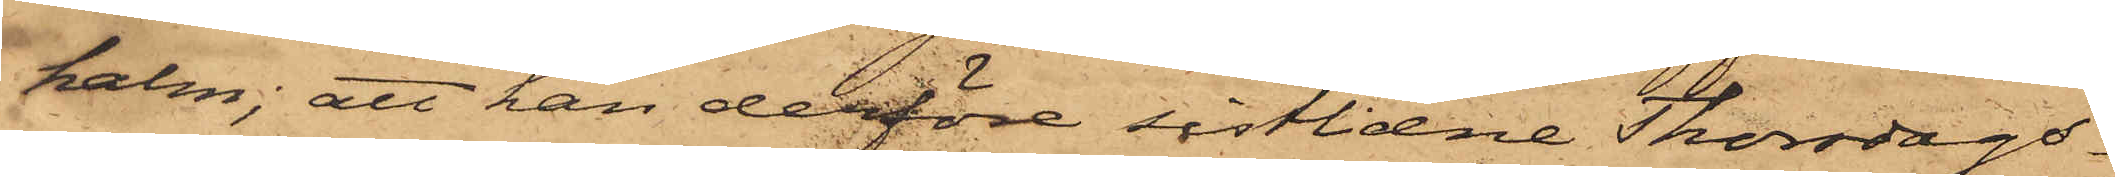halm; att han derföre sistlidne Thorsdags¬
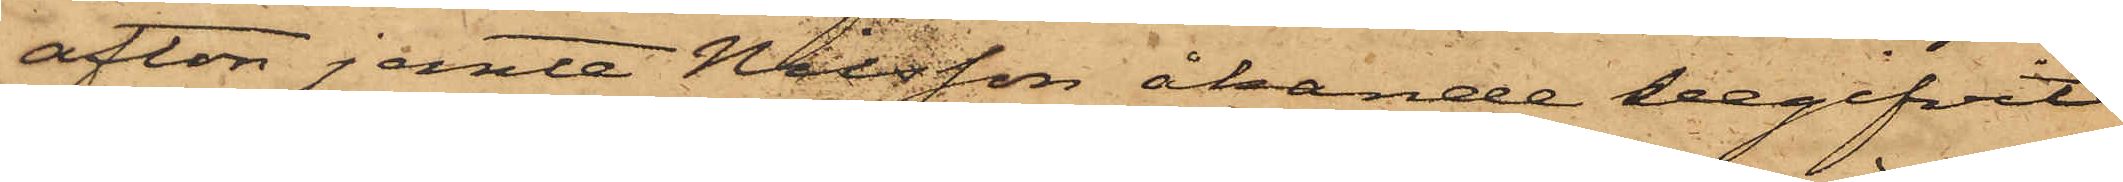afton jemte Nilsson åkande begifvit
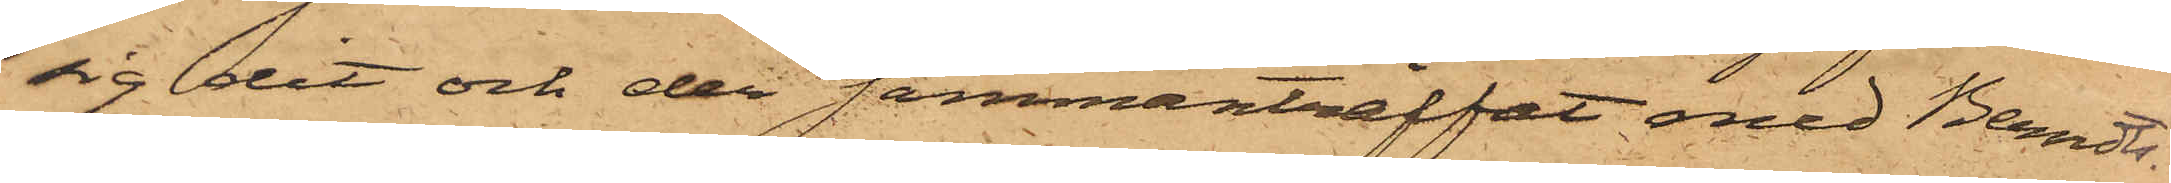sig dit och der sammanträffat med Berndts¬
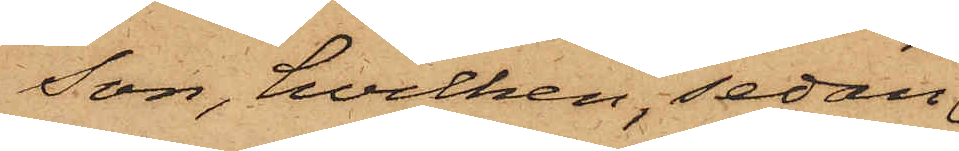son, hvilken, sedan
